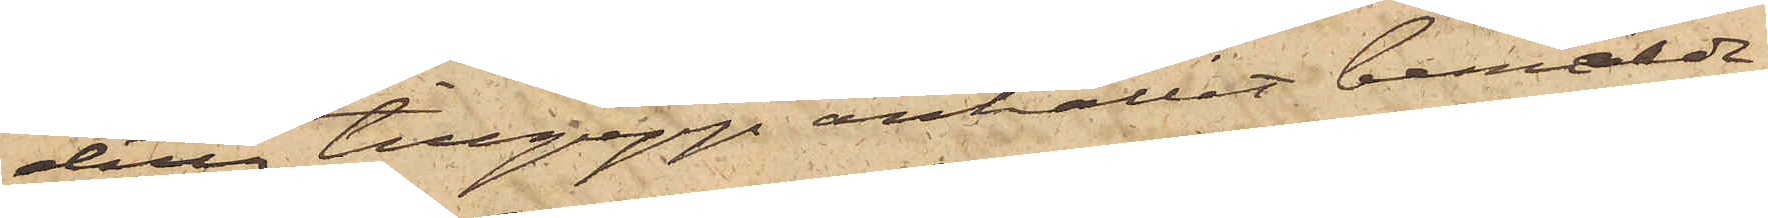detta tillgrepp anhållit bemälde
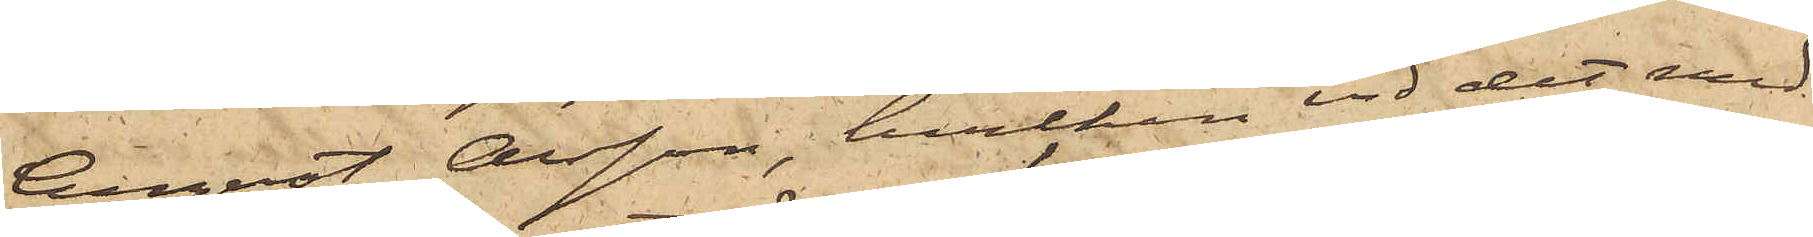August Olsson, hvilken vid det med
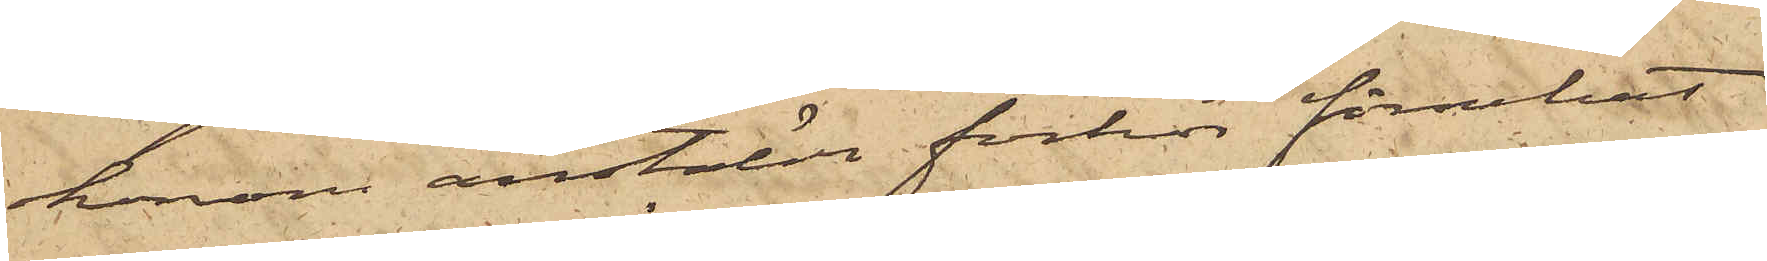honom anstälde förhör förnekat
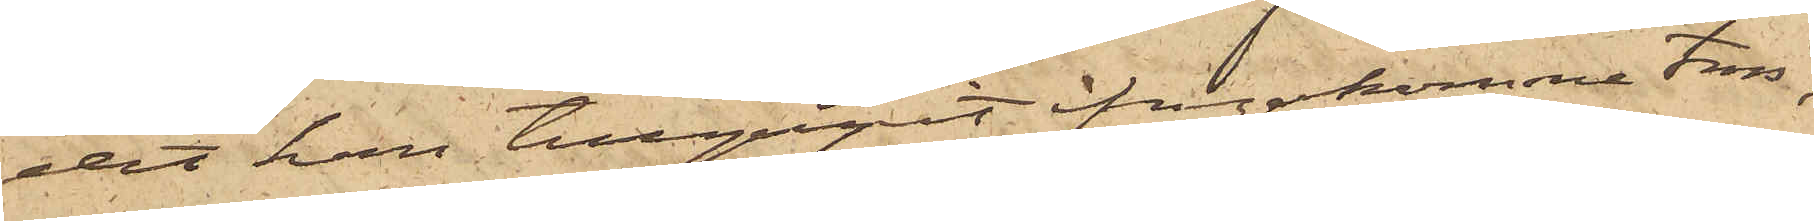det han tillgripit ifrågakomne tross,
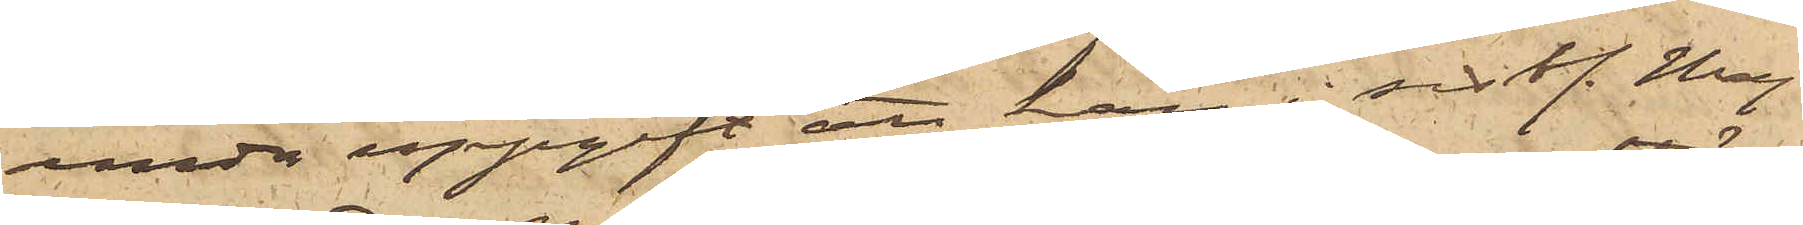under uppgift att han i sist. Maj
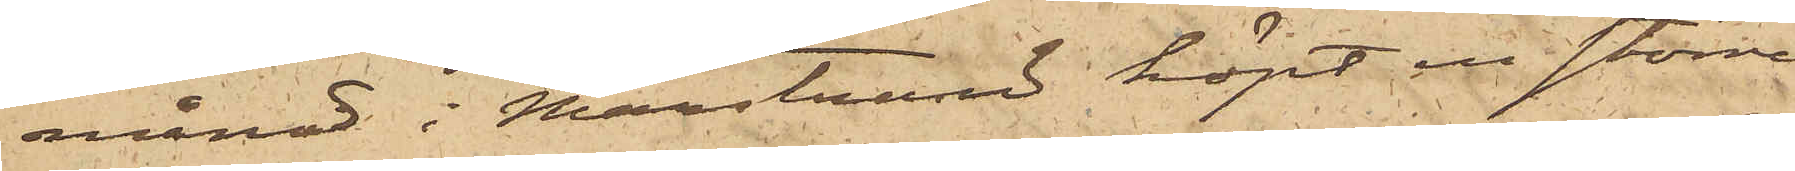månad i Marstrand köpt en större
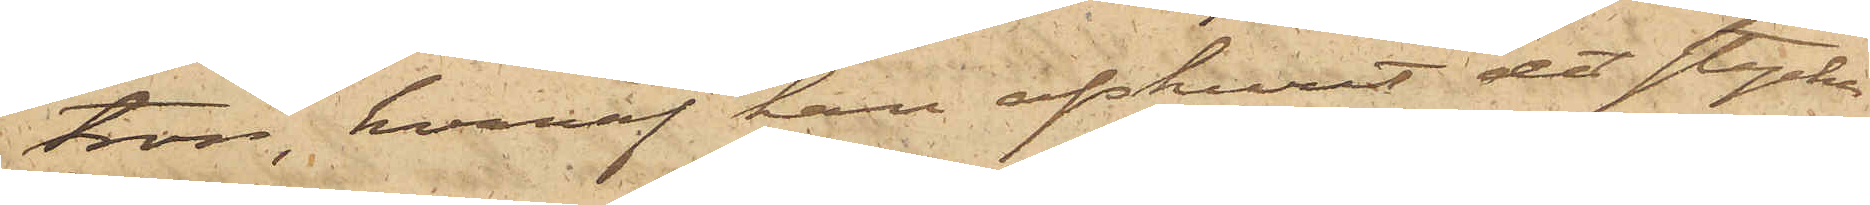tross, hvaraf han afskurit det stycke
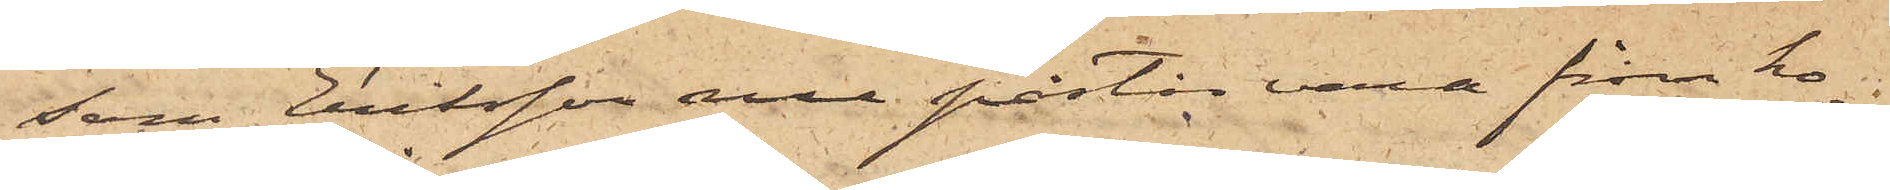som Eriksson nu påstår vara från ho¬
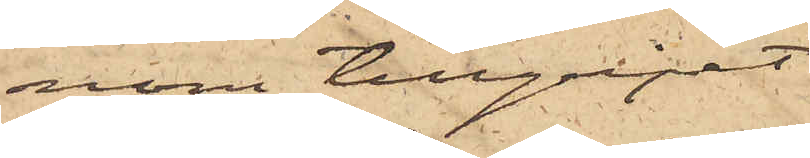nom tillgripet.
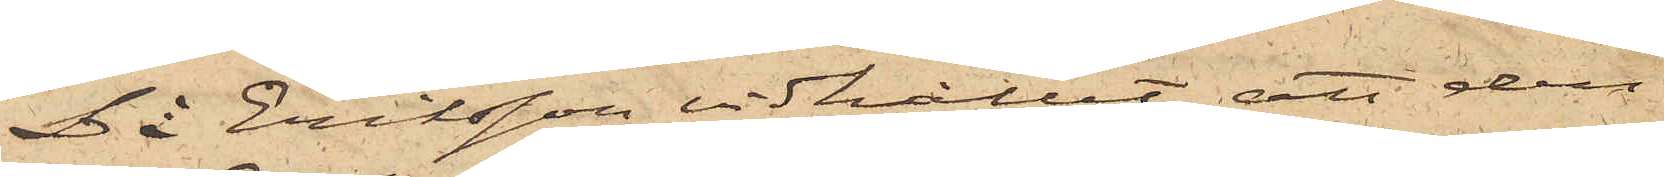Då Eriksson vidhållit att den
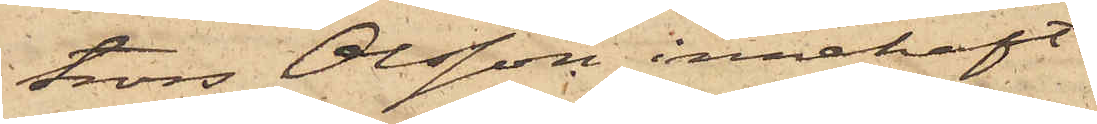tross Olsson innehaft
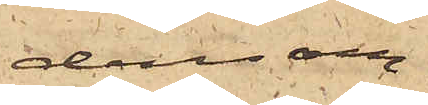densam¬
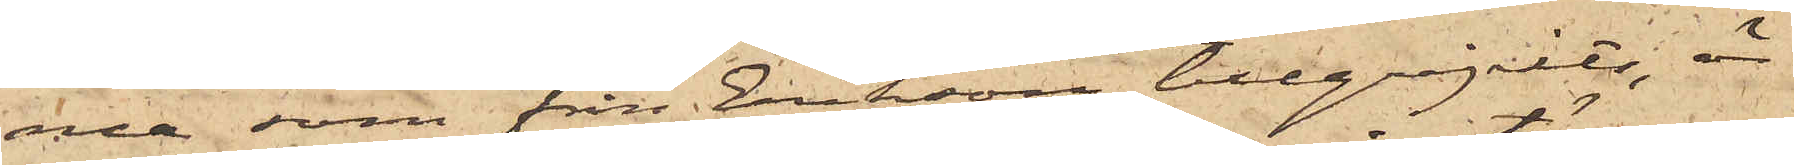me som från Erikson tillgripits, är
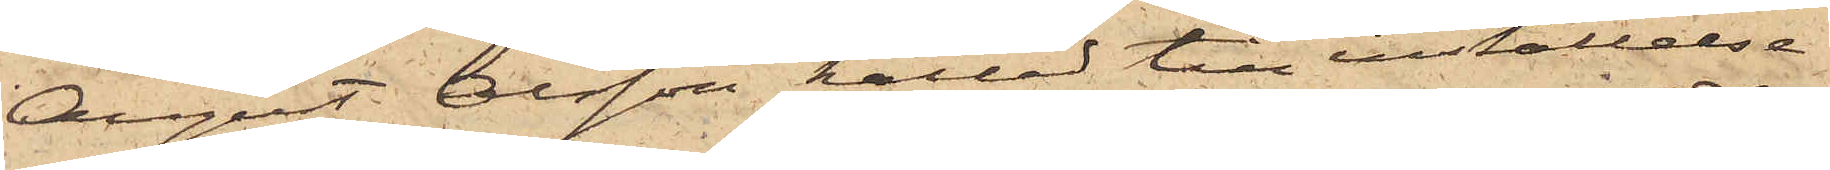August Olsson kallad till inställelse
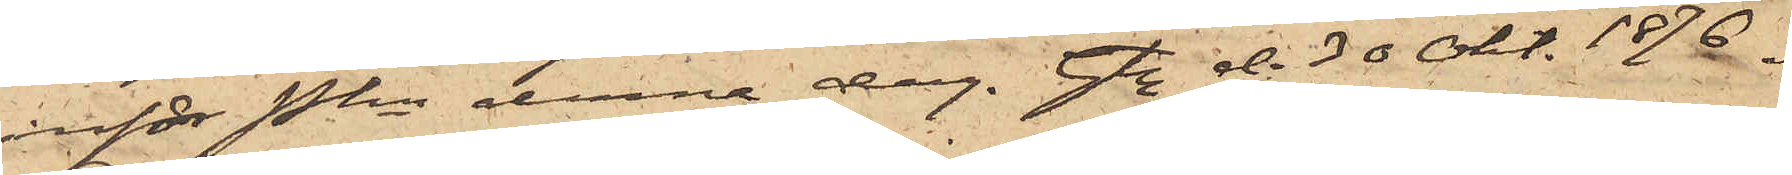inför Pkn denna dag. Gbg d. 30 Okt. 1876.
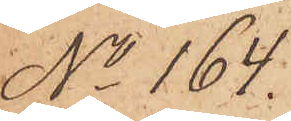No 164.
